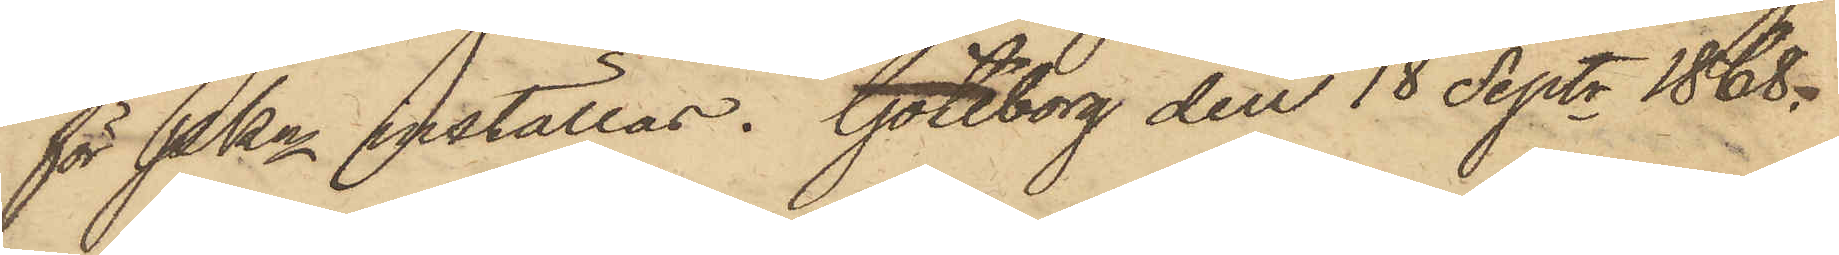för Pkn inställas. Göteborg den 18 Septr 1868.
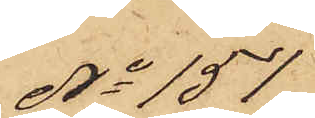No 151
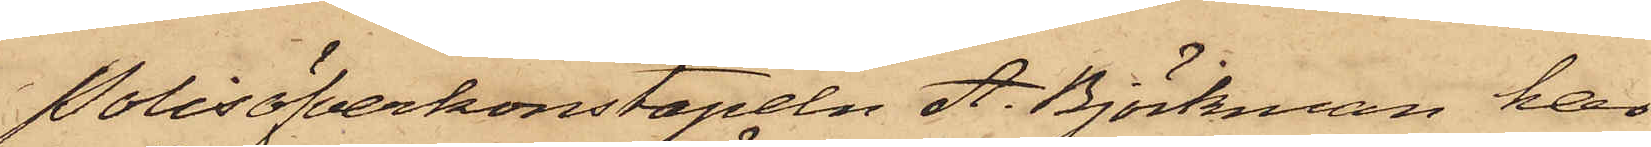Polisöfverkonstapeln A. Björkman har
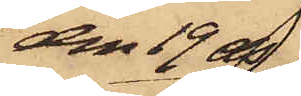den 19 ds
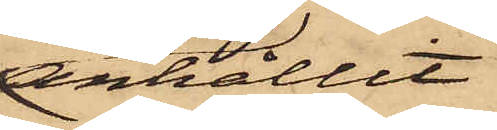anhållit
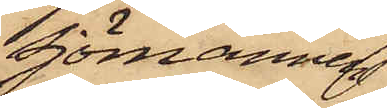Sjömannen
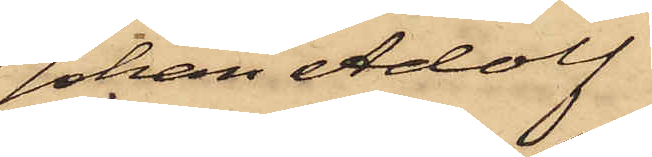Johan Adolf
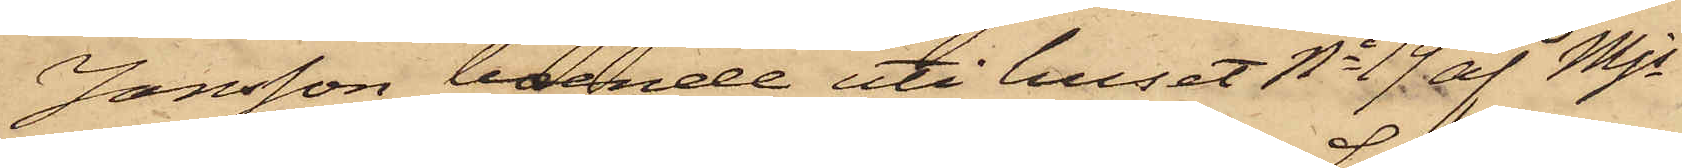Jonsson, boende uti huset No 19 af Mjs
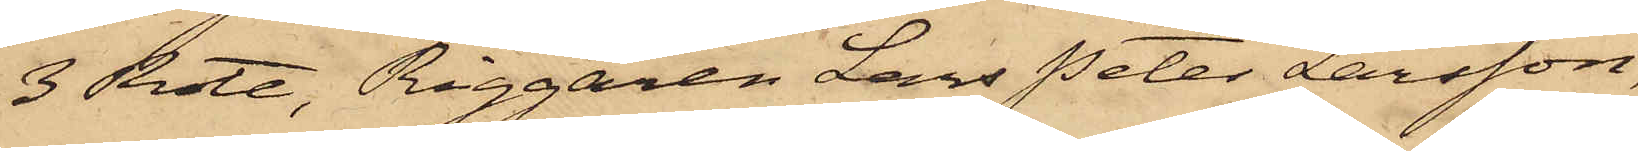3 Rote, Riggaren Lars Peter Larsson,
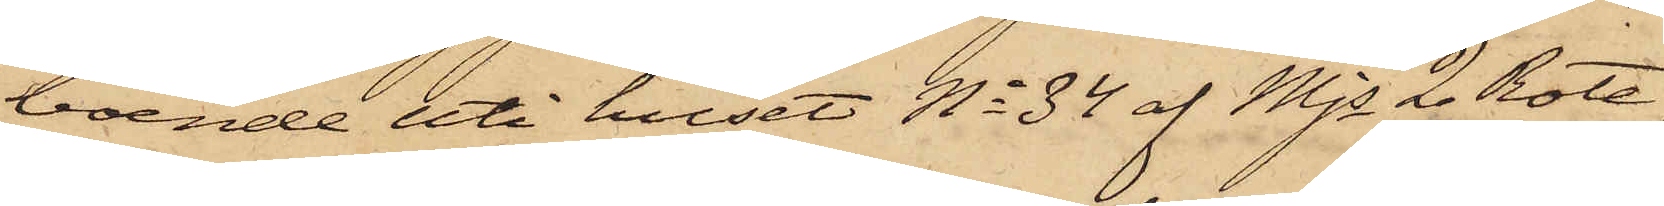boende uti huset No 34 af Mjs 2 Rote,
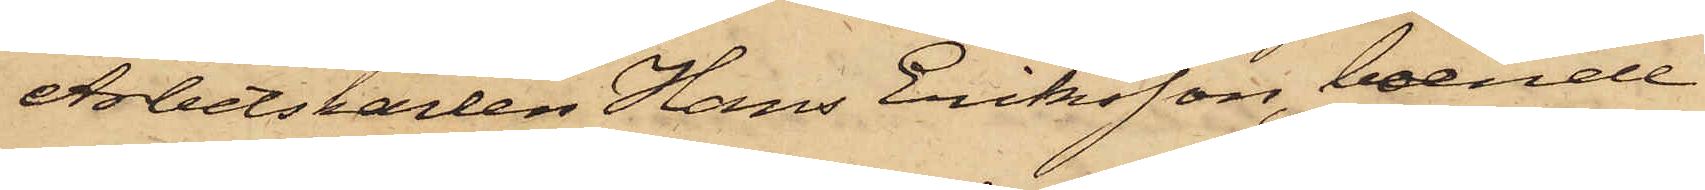Arbetskarlen Hans Eriksson, boende
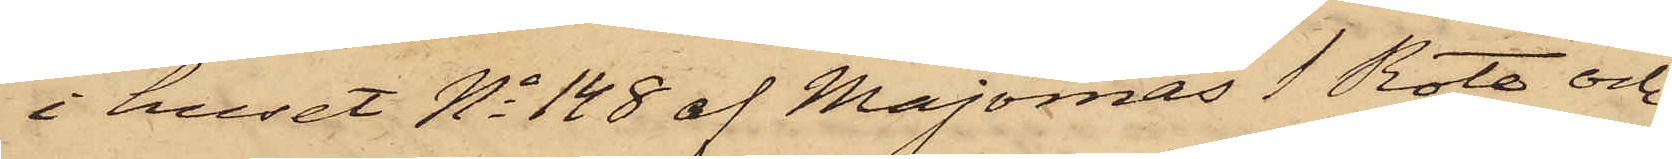i huset No 148 af Majornas 1 Rote och
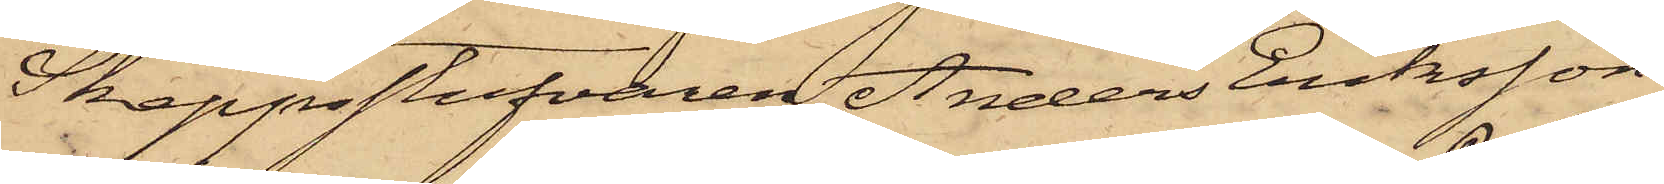Skeppsstufvaren Anders Eriksson
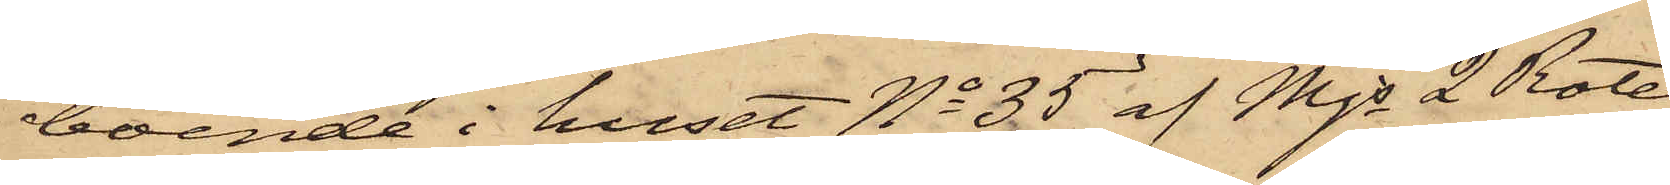boende i huset No 35 af Mjs 2 Rote,
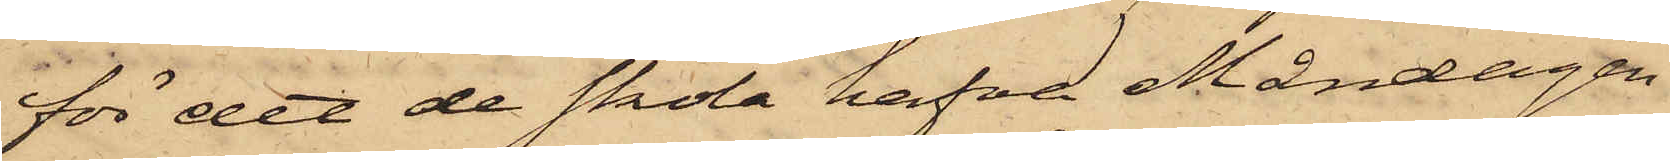för det de skola hafva Måndagen
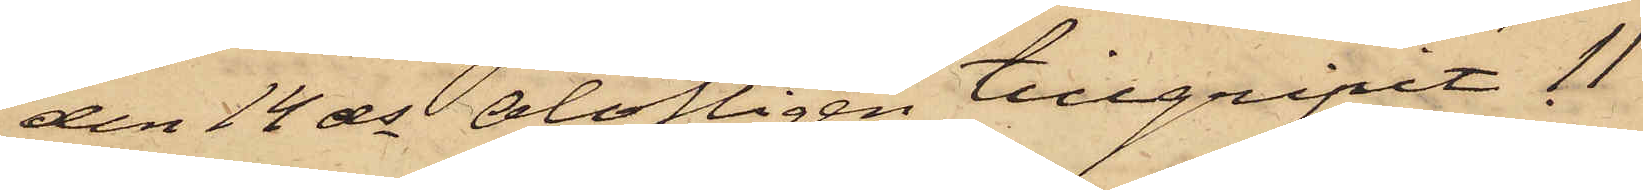den 14 ds olofligen tillgripit 11
